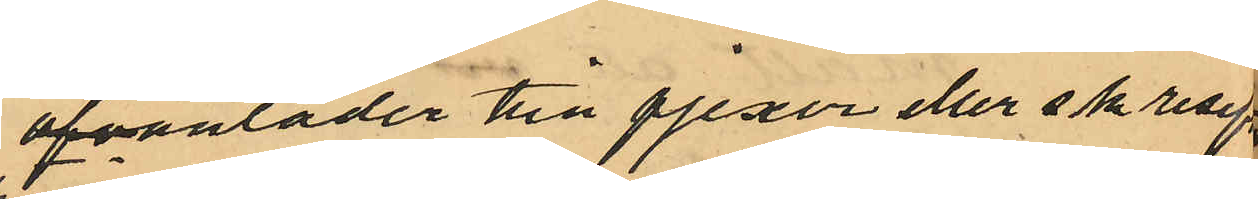ofvanläder till pjexor eller s.k. resefter
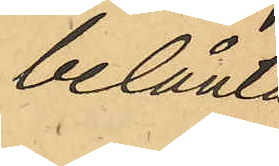belånta
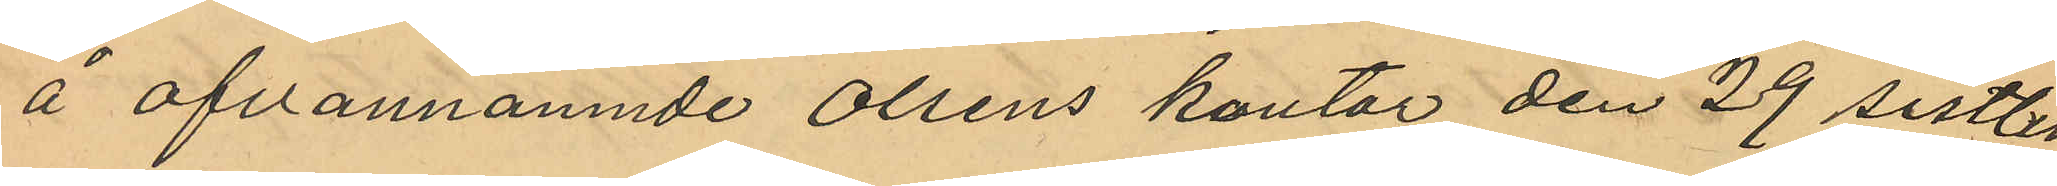å ofvannämnde Olsens kontor den 29 sistlid¬
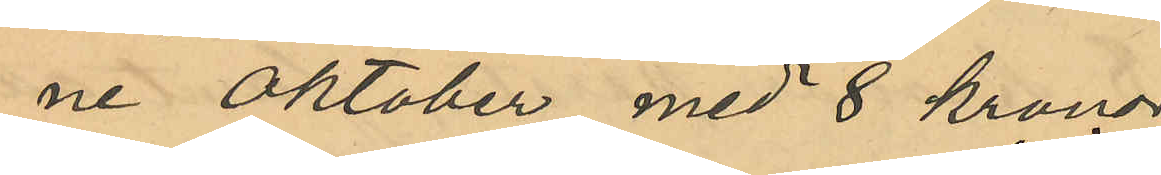ne Oktober med 8 kronor,
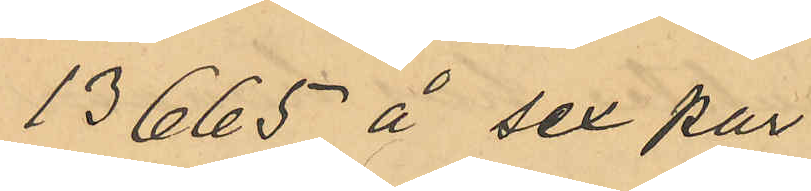" 13665 å sex par
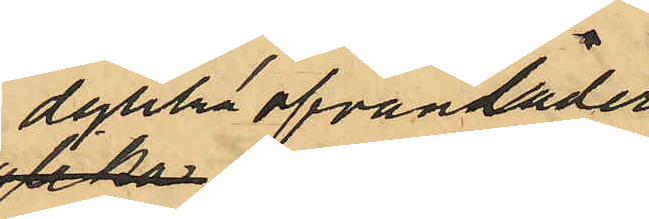dylika ofvanläder,
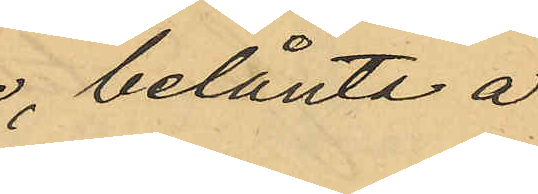belånte å
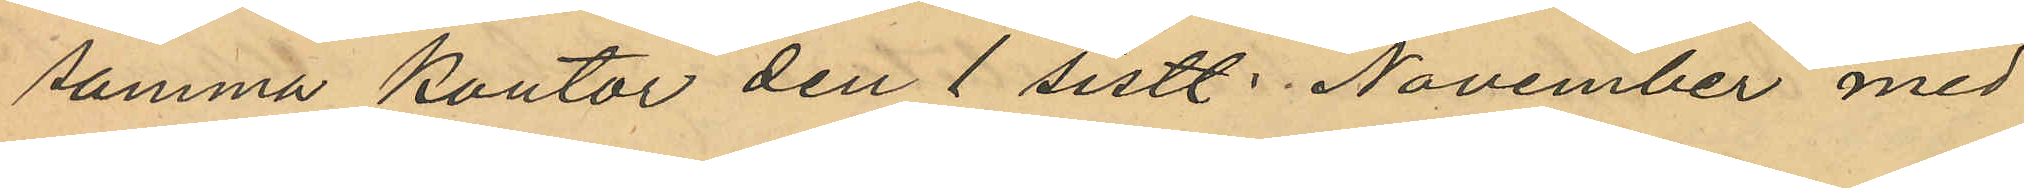samma kontor den 1 sistl November med
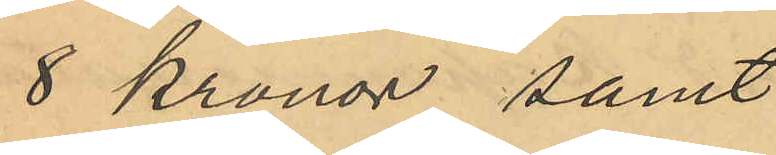8 Kronor, samt
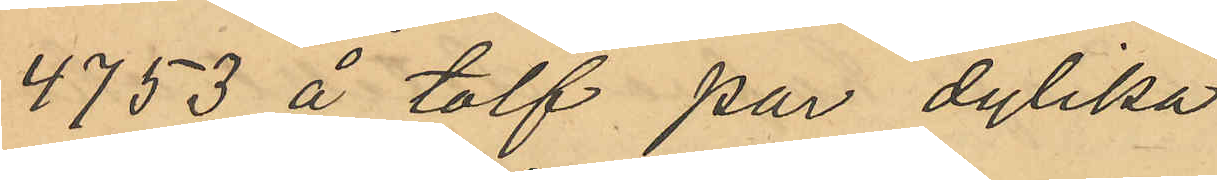" 4753 å tolf par dylika 
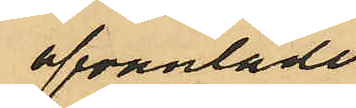ofvanläder,
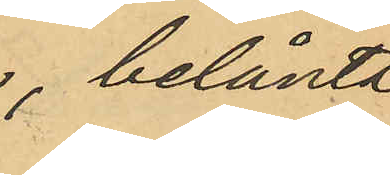belånte
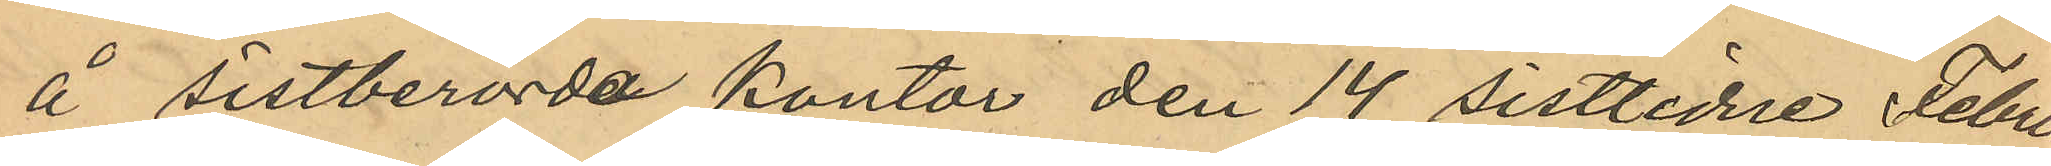å sistnämnde kontor den 14 sistlidne Febru¬
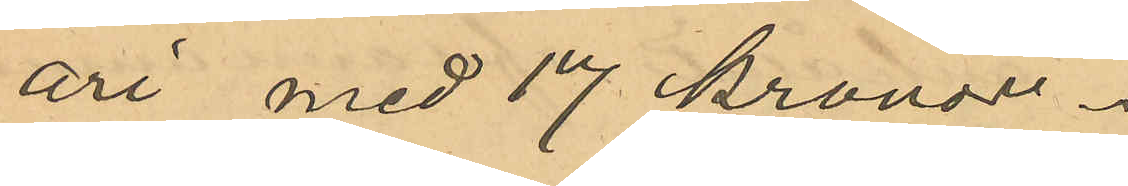ari med 17 Kronor.
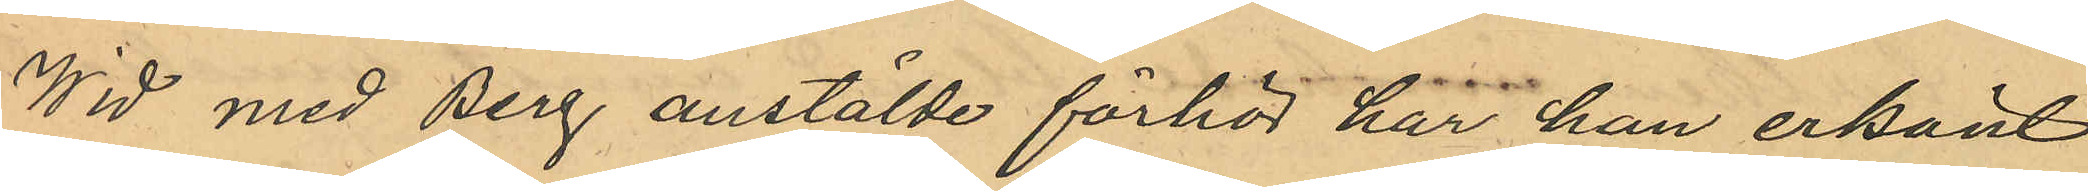Wid med Berg anstälde förhör har han erkänt
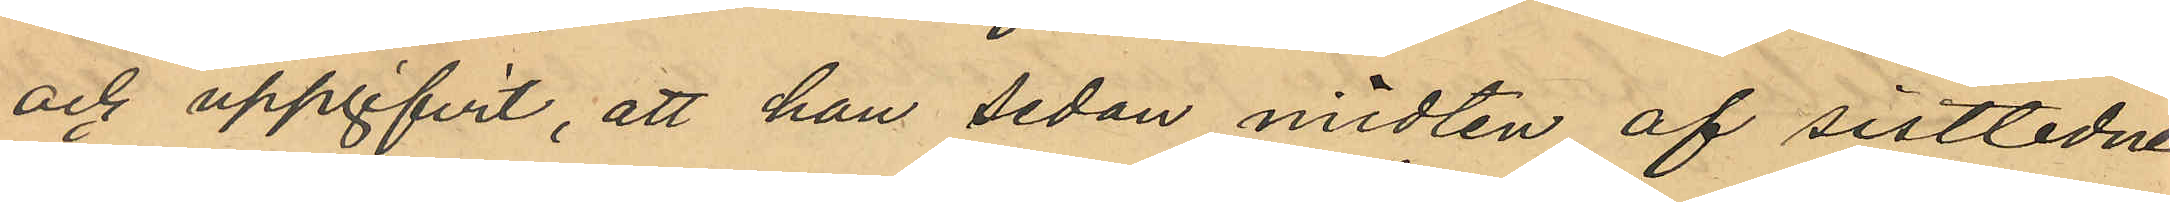och uppgifvit, att han sedan midten af sistlidne
